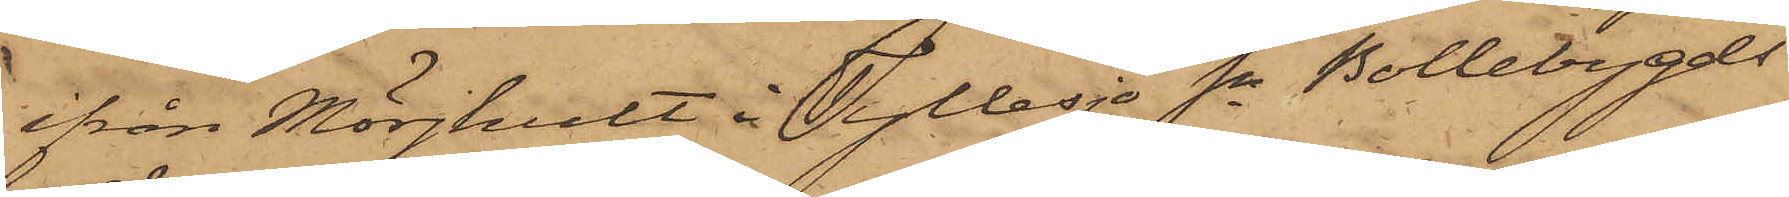ifrån Mörjhult i Tyllesjö Sn Bollebygds
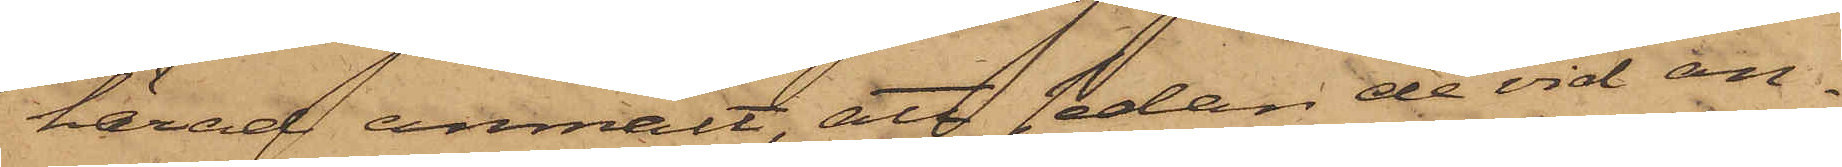härad anmält, att sedan de vid an¬
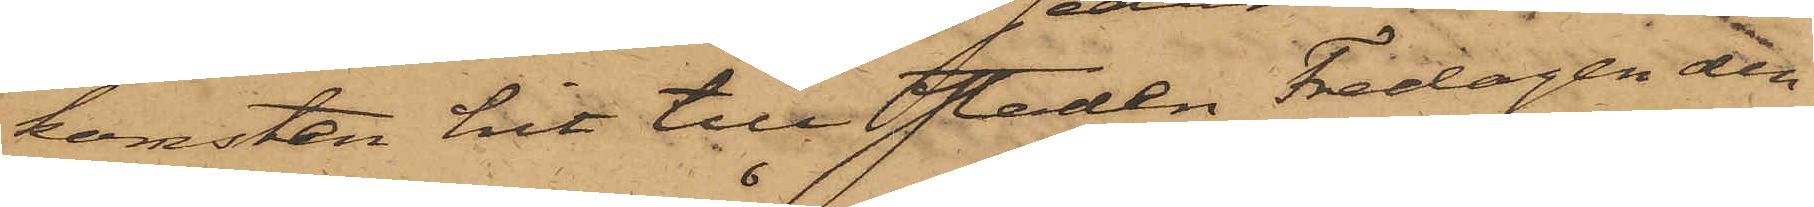komsten hit till staden Fredagen den
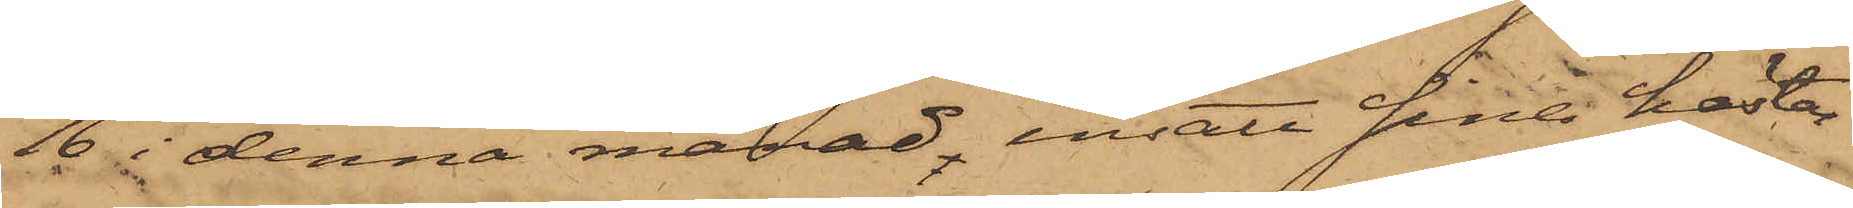16 i denna månad, insatt sina hästar
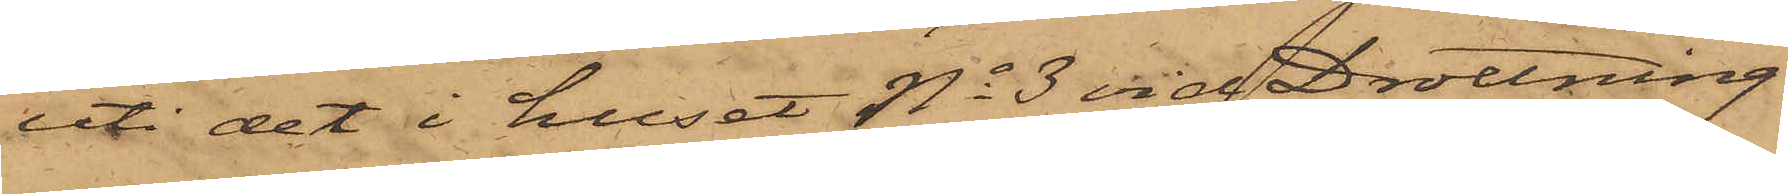uti det i huset No 3 vid Drottning¬
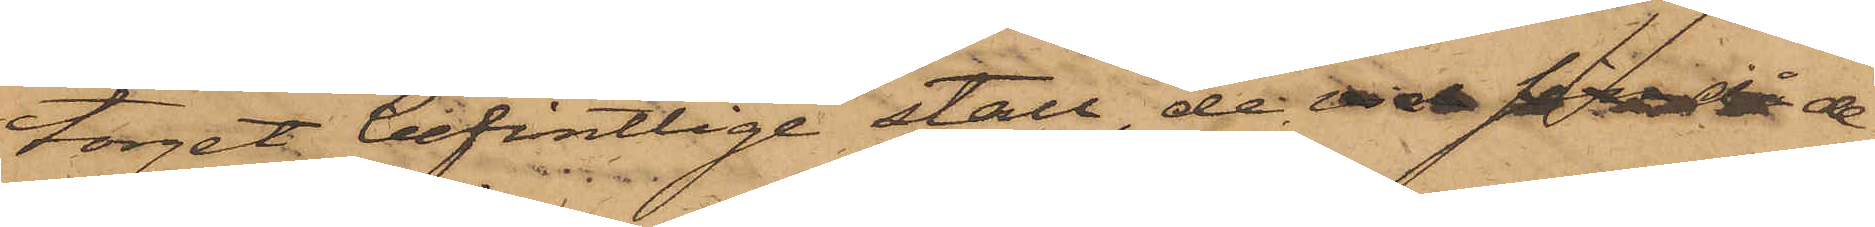torget befintlige stall, de vid sin då de
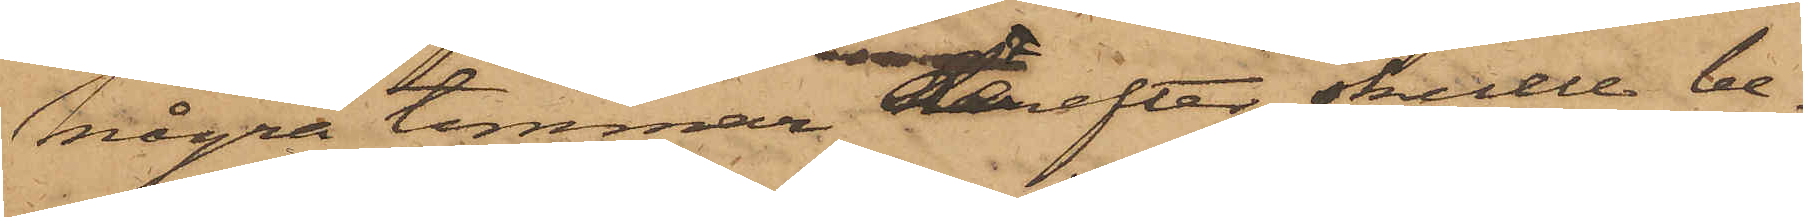några timmar derefter skulle be¬
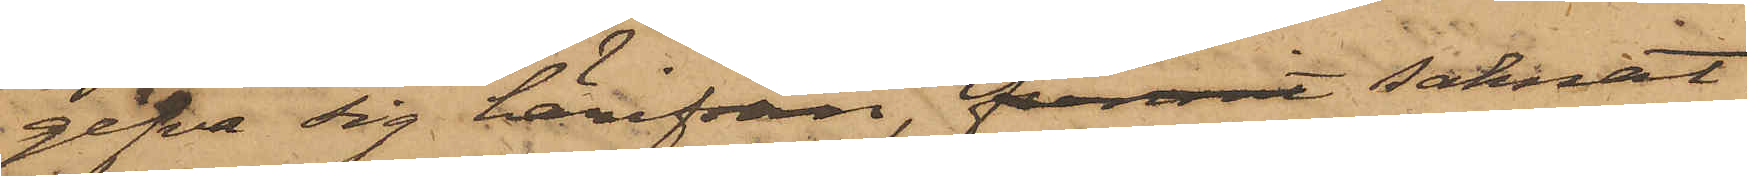gifva sig härifrån, funnit saknat
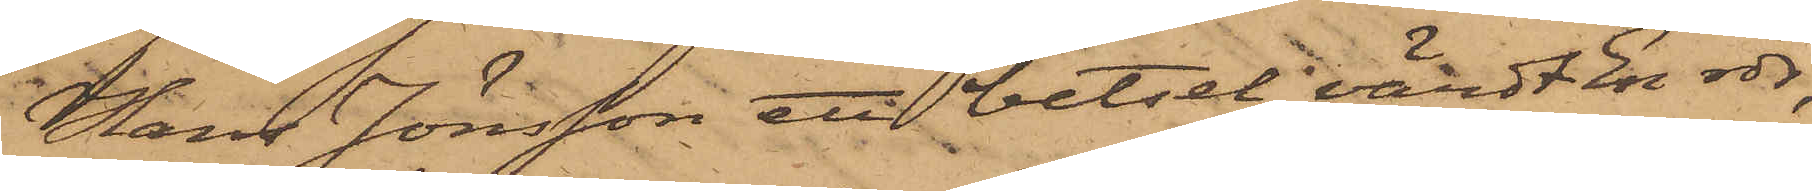Hans Jönsson ett betsel, värdt En rdr,
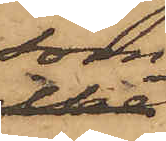som
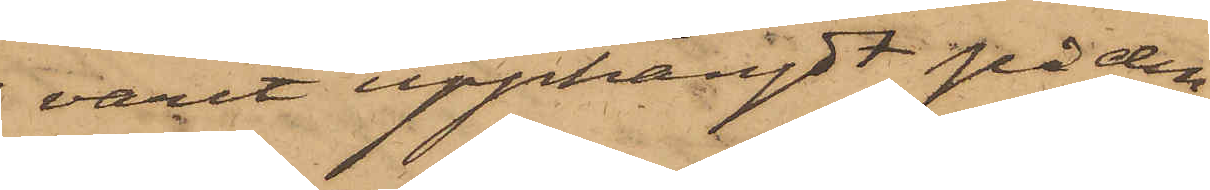varit upphängdt på den
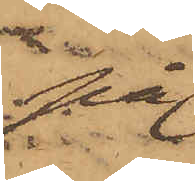på
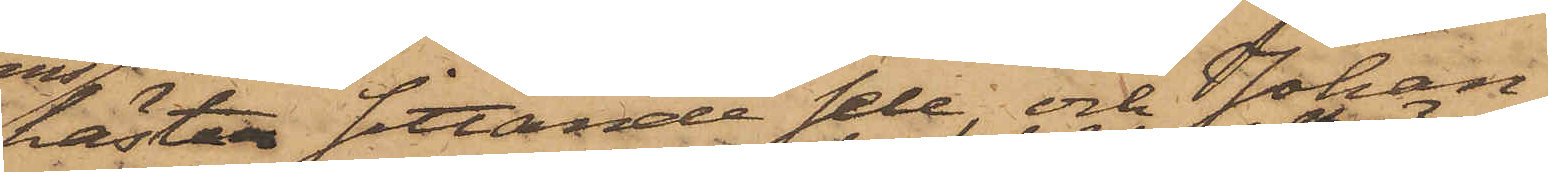hästen sittande sele, och Johan¬
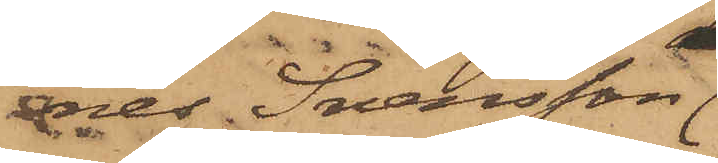nes Svensson,
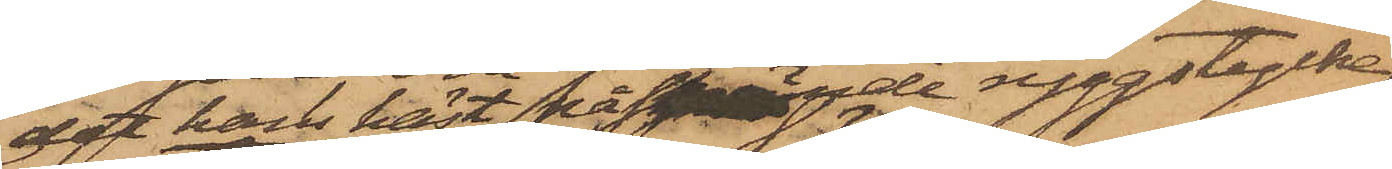det hans häst påspände ryggstycke
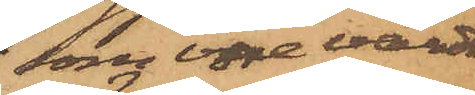som vore värdt
